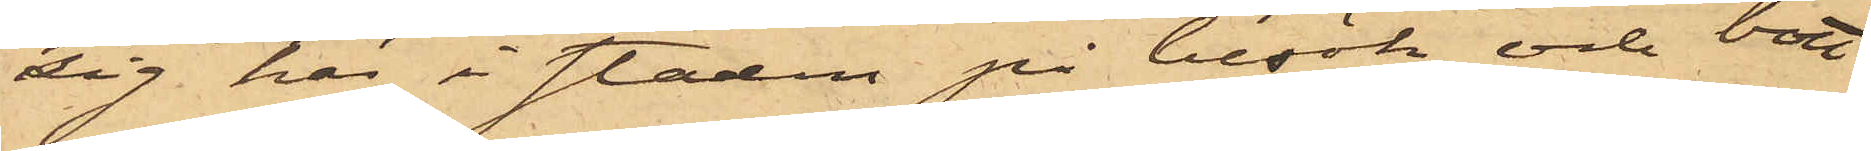sig här i staden på besök och bott
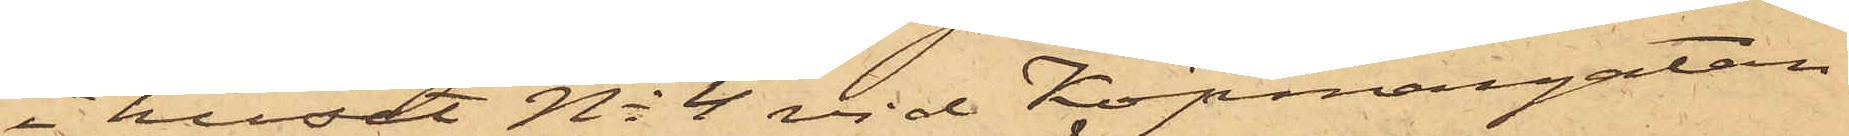i huset No 4 vid Köpmangatan
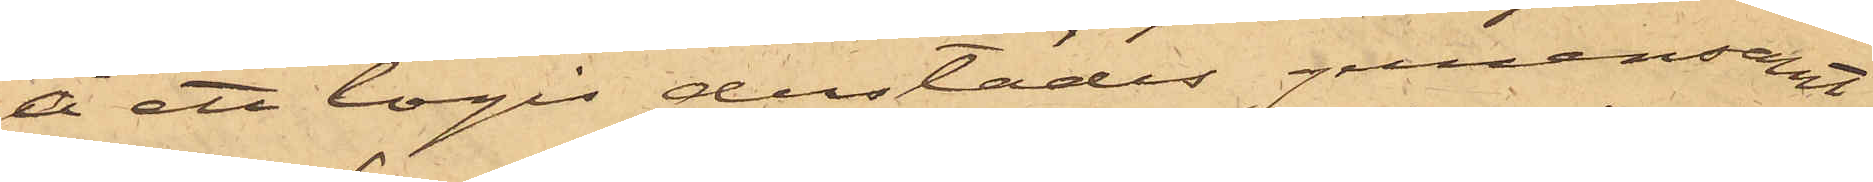å ett logis derstädes gemensamt
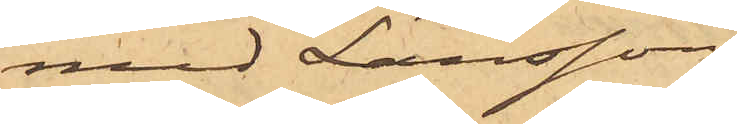med Larsson,
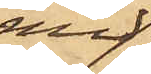med
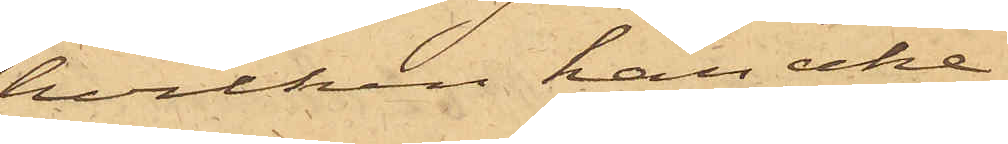hvilken han icke
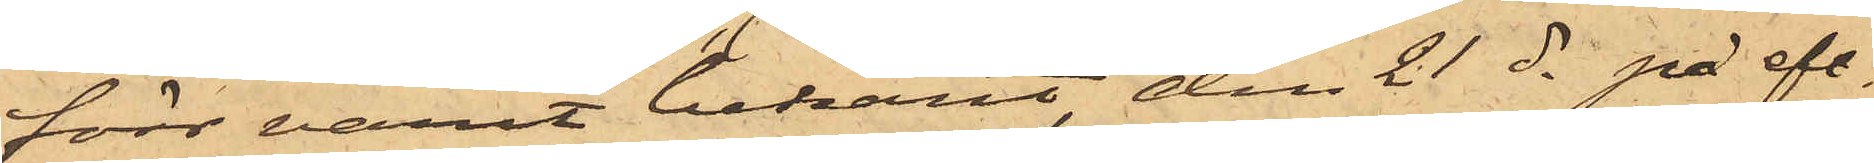förr varit bekant, den 21 ds på eft.
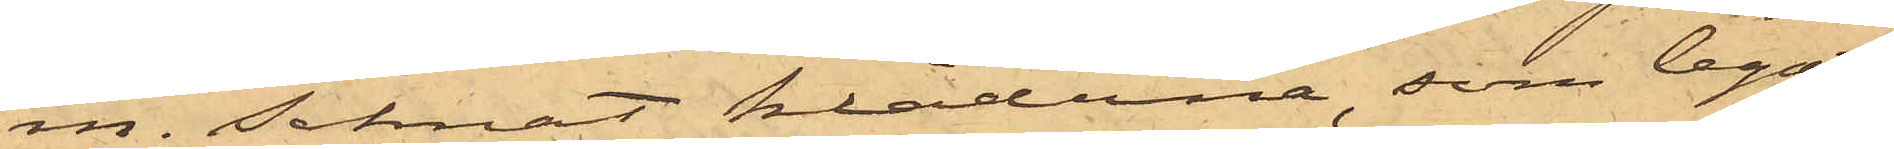m. saknat kläderna, som legat
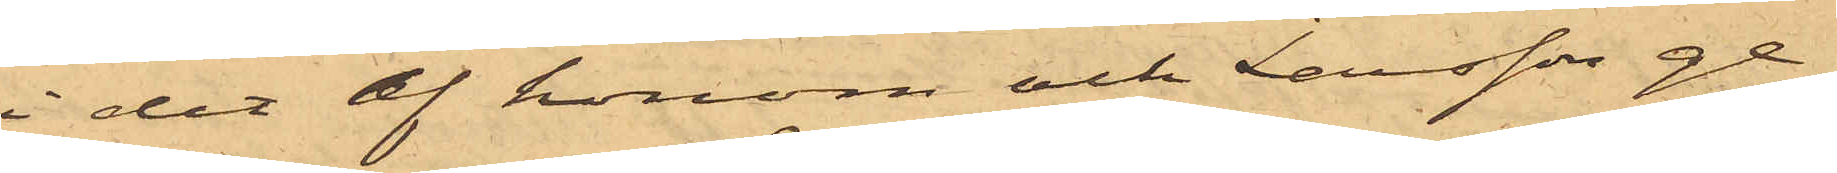i det af honom och Larsson ge¬
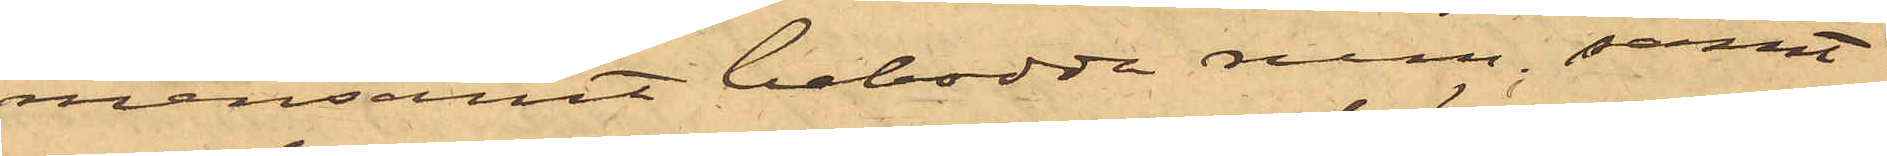mensamt bebodda rum; samt
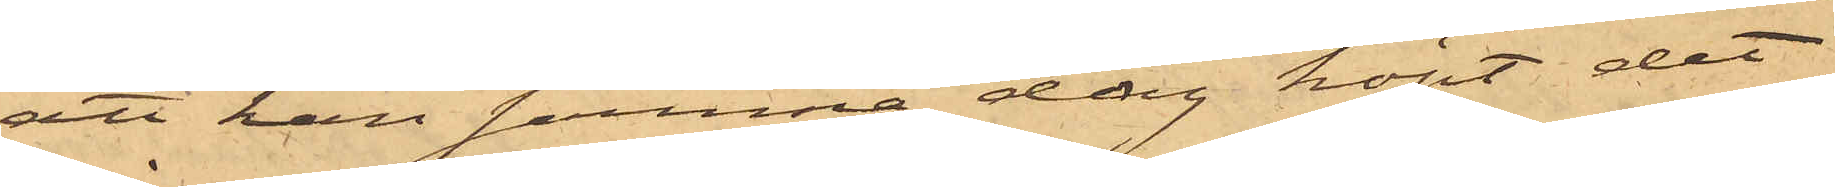att han samma dag köpt det
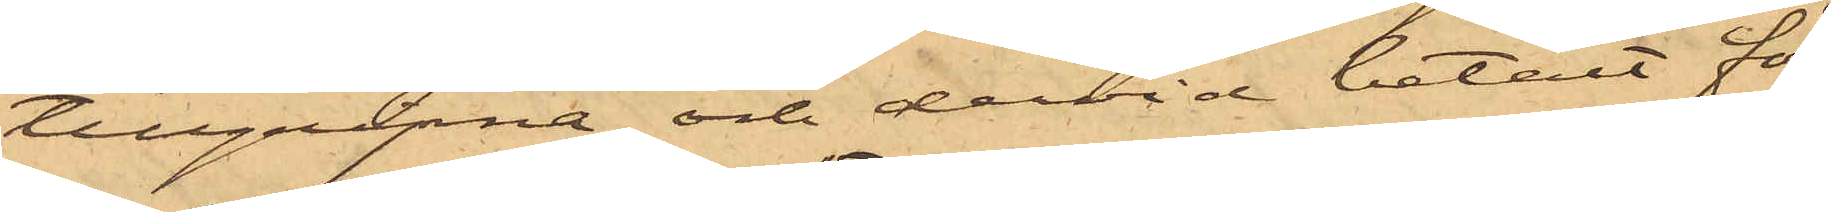tillgripna och dervid betalt för
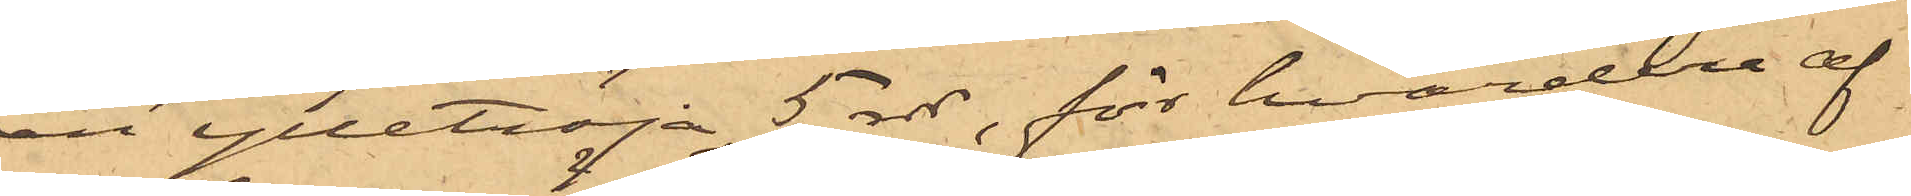en ylletröja 5 rdr, för hvardera af
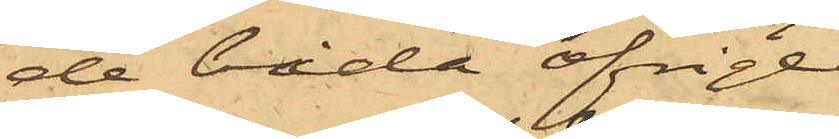de båda öfrige
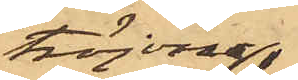tröjorna
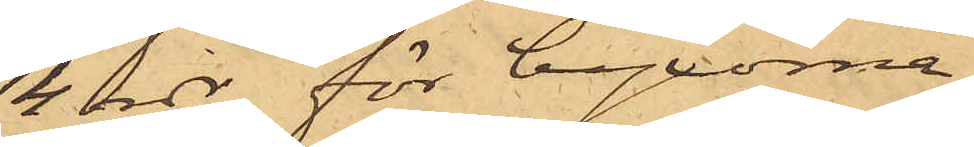4 rdr, för byxorna
